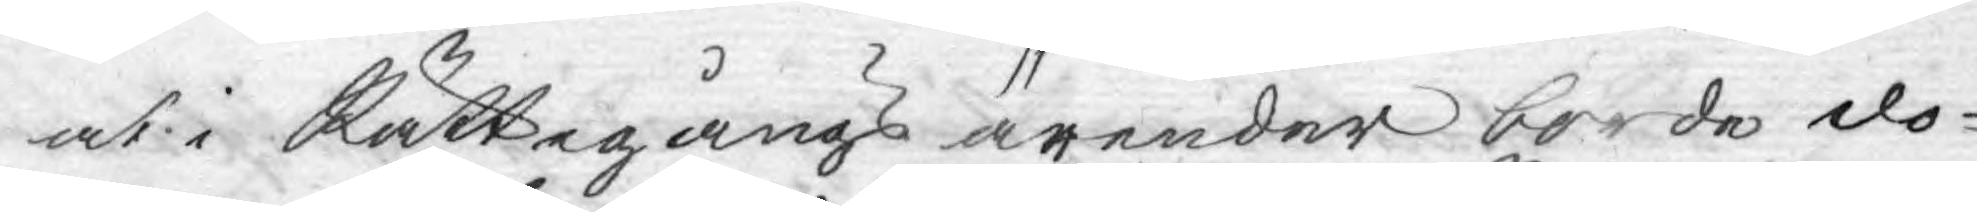at i Rättegångs ärender borde do¬
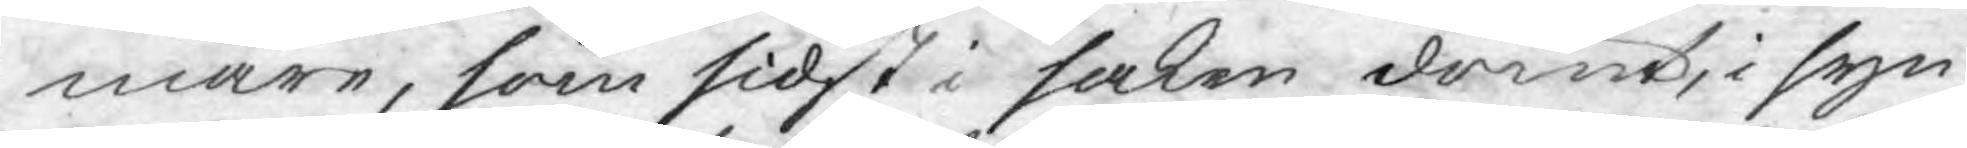mare, som sidst i saken dömt, i syn¬
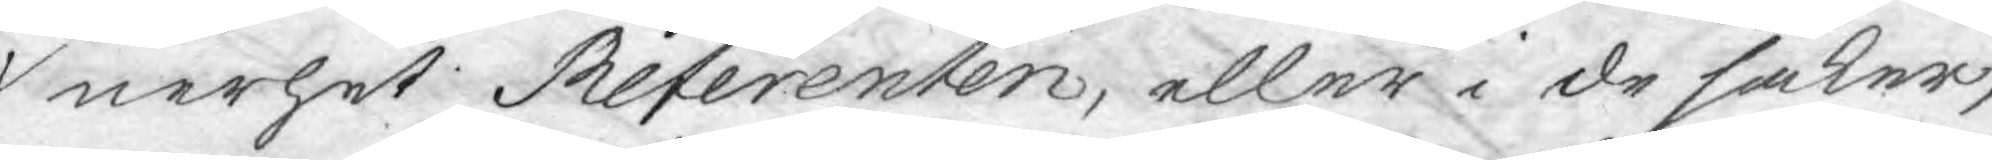nerhet Referenten, eller i de saker,
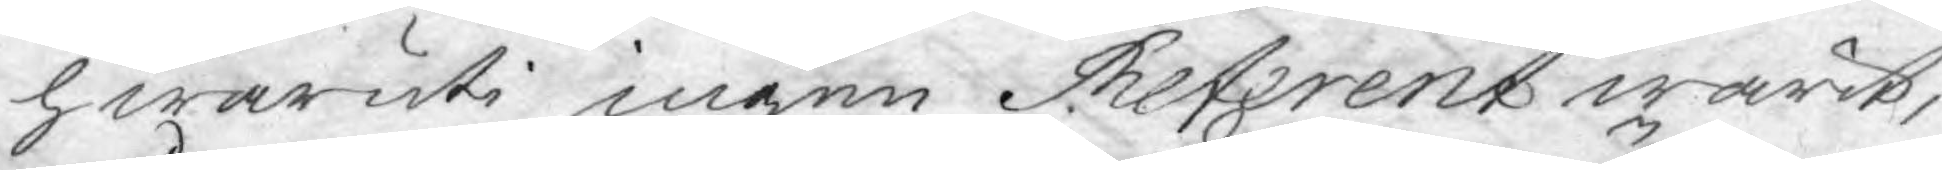hwaruti ingen Referent warit,
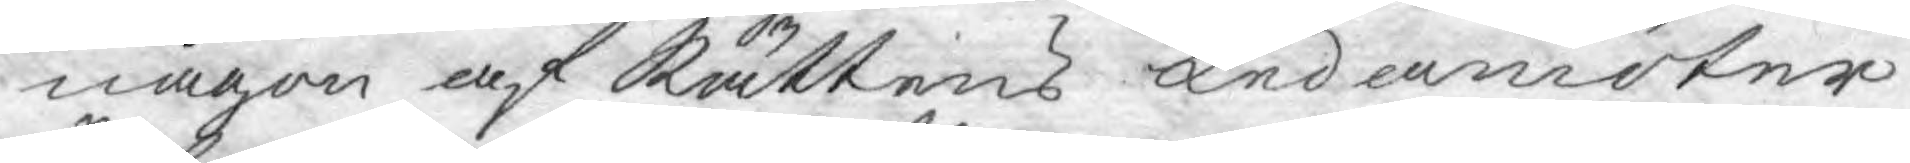någon af Rättens Ledamöter
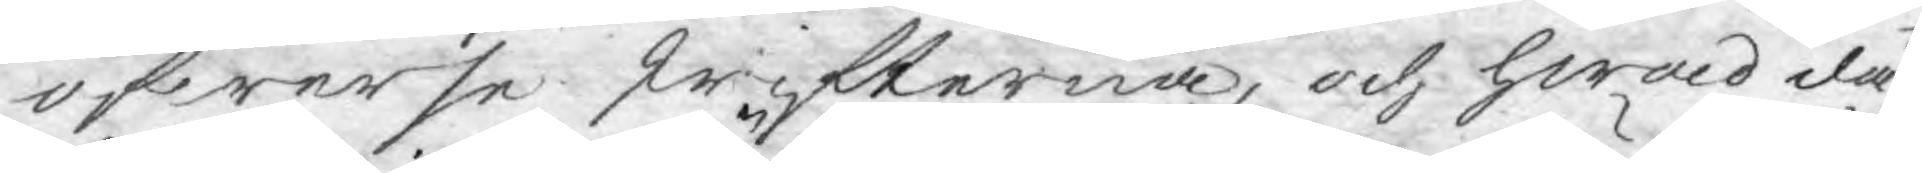öfwerse skrifterna, och hwad då
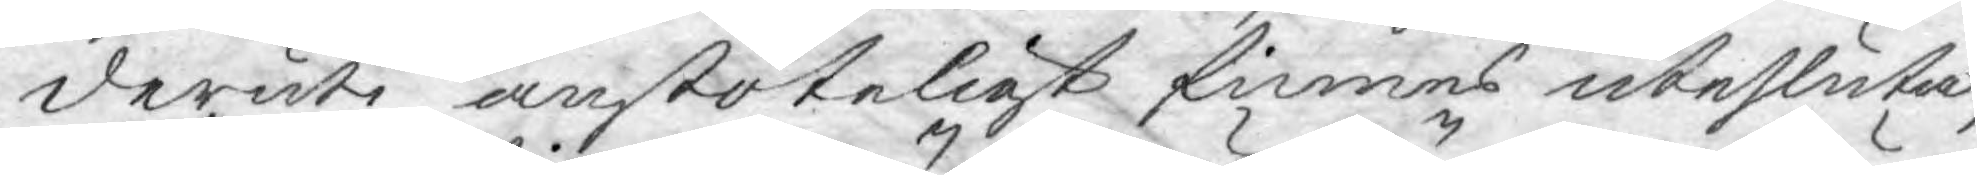deruti anstöteligt finnes utesluta,
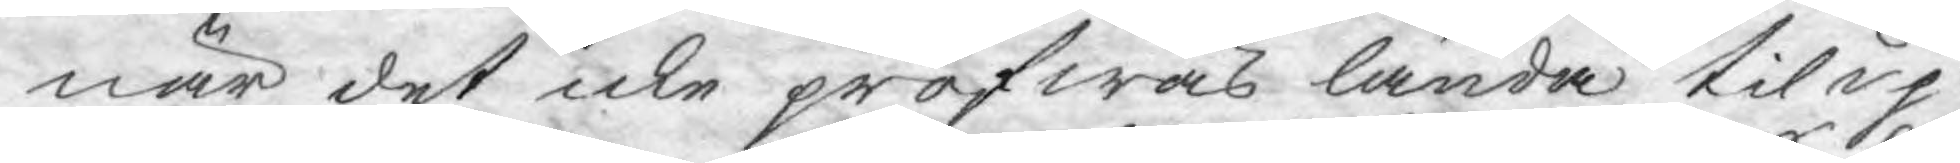när det icke pröfwas lända til up¬
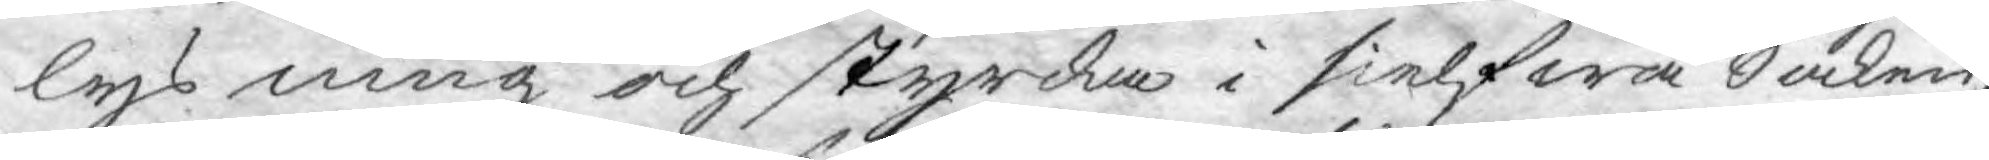lysning och styrcka i sielfwa Saken,
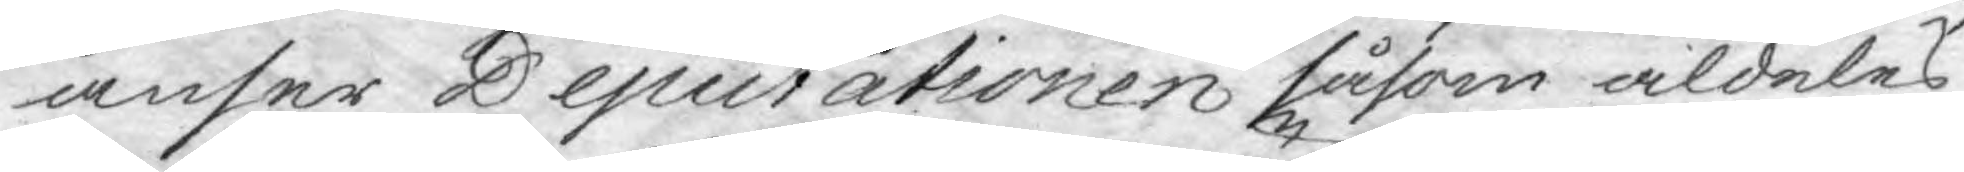anser Deputationen såsom aldeles
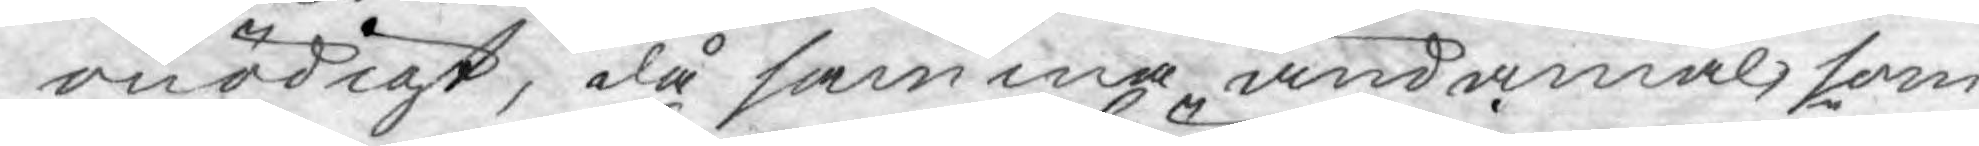onödigt, då samma ändamål, som
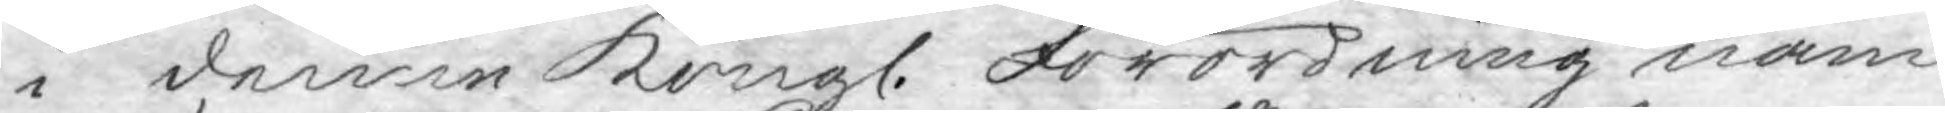i denne Kongl. Förordning näm¬
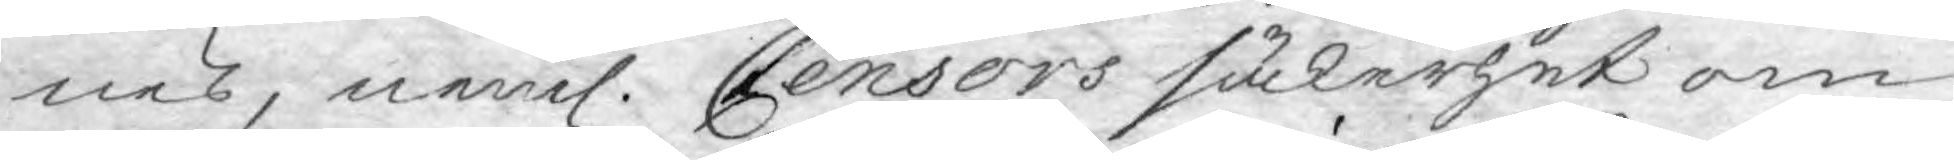nes, neml. Censors säkerhet om
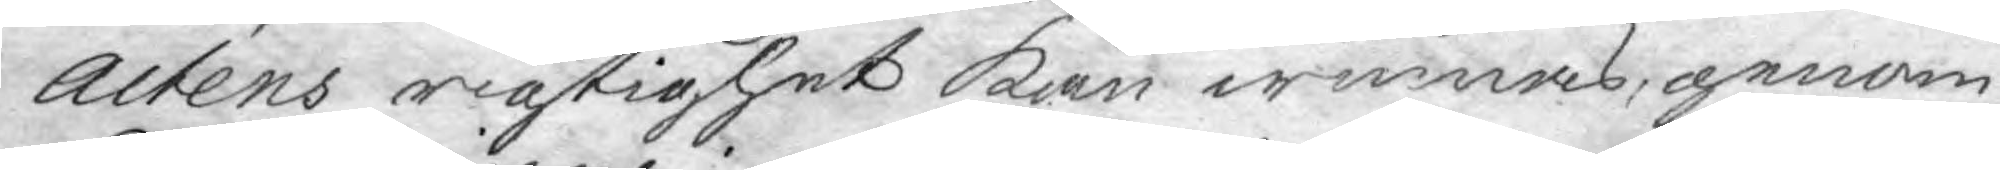Actens rigtighet kan winnas, genom
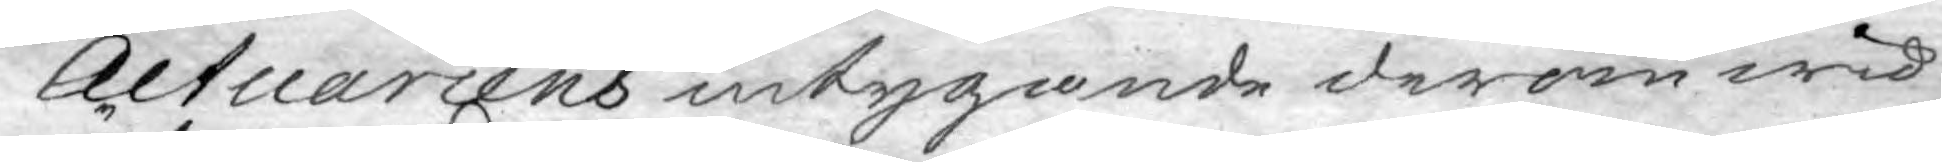Actuariens intygande derom wid
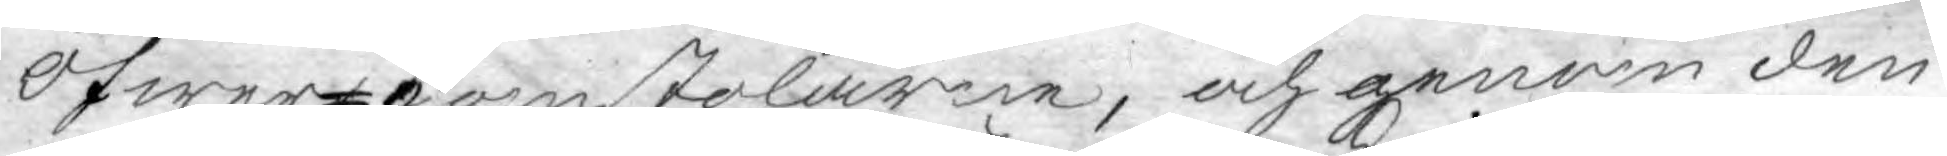Öfwer-domstolarne, och genom den
